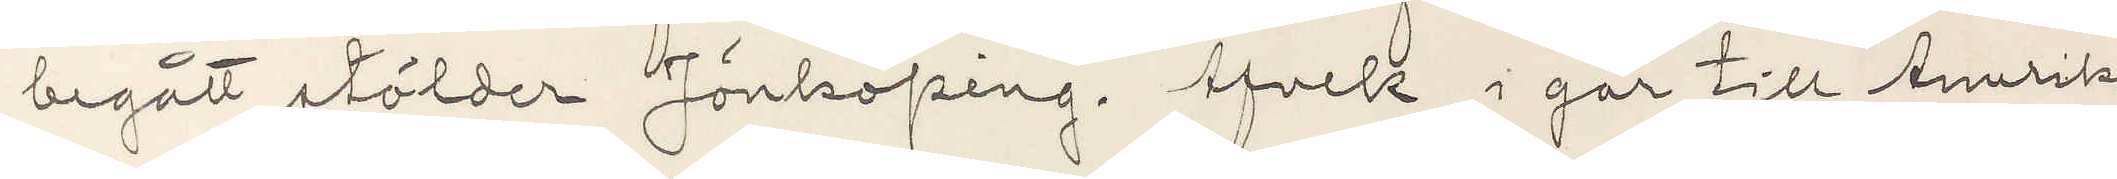begått stölder Jönköping. Afvek i går till Amerika
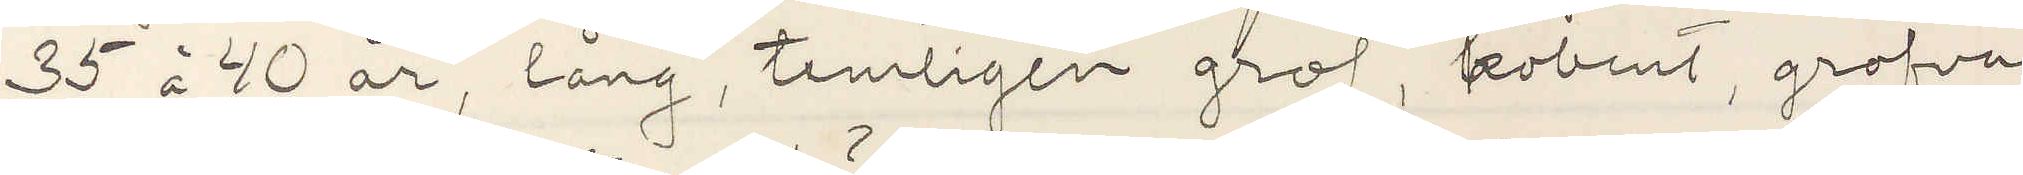35 à 40 år, lång, temligen grof, kobent, grofva
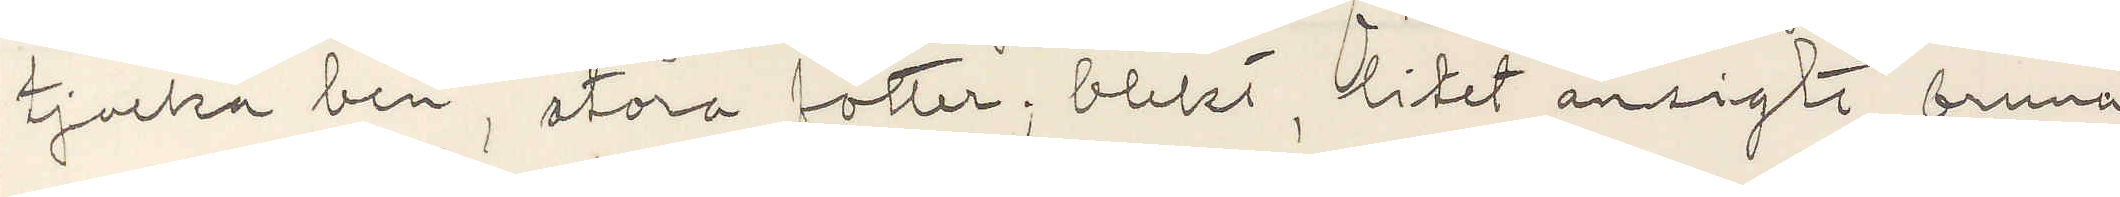tjocka ben, stora fötter, blekt, litet ansigte, bruna
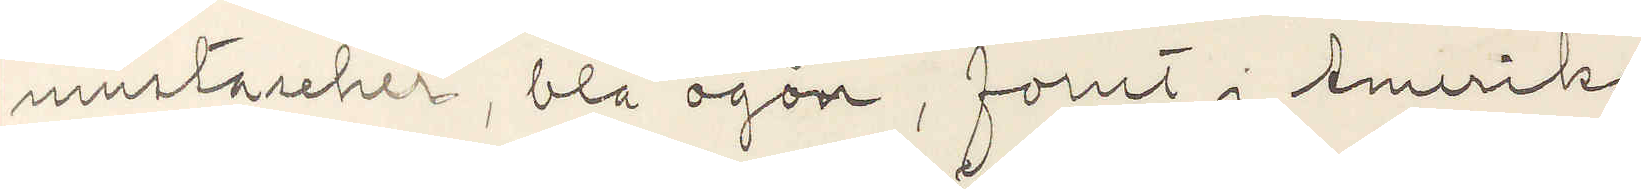mustascher, blå ögon, forut i Amerika
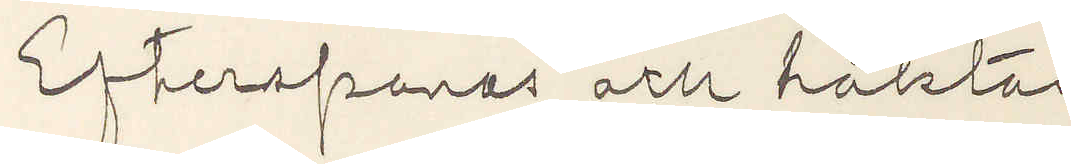Efterspanas och häktas.
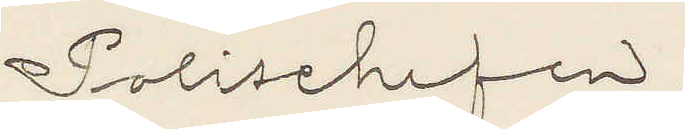Polischefen.
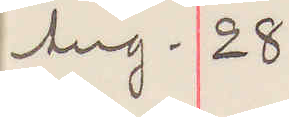Aug. 28
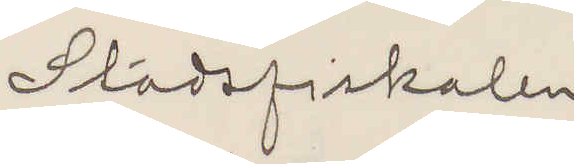Stadsfiskalen
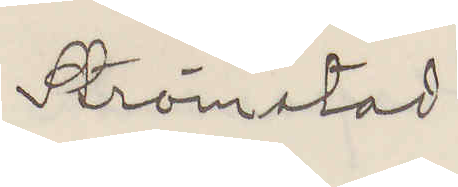Strömstad
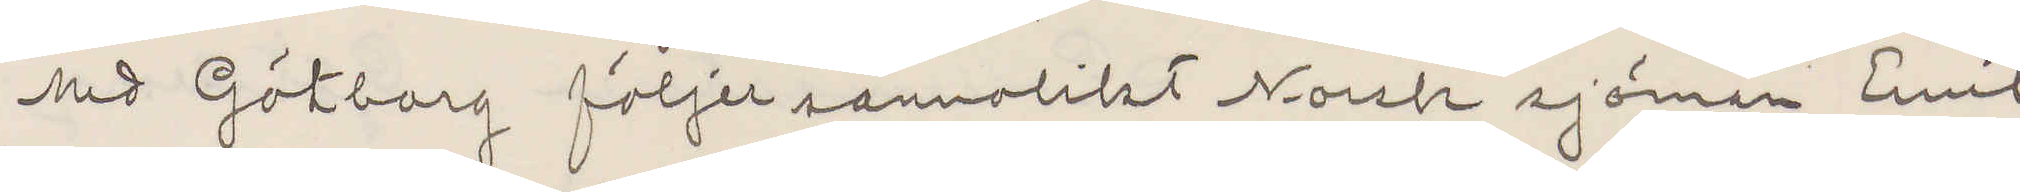Med Göteborg följer sannolikt Norsk sjöman Emil
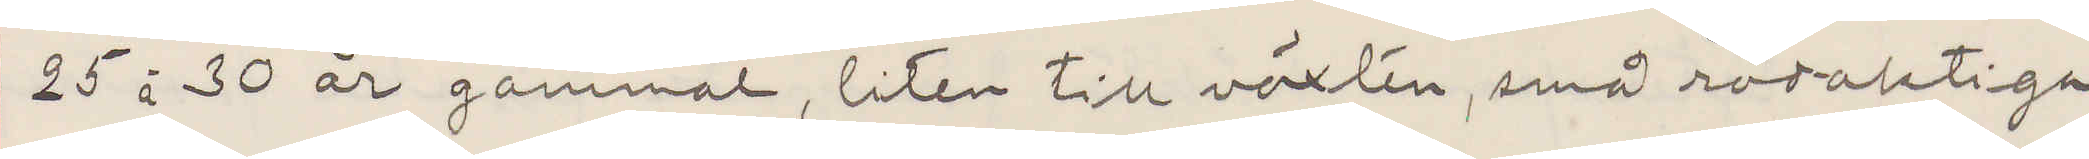25 à 30 år gammal, liten till växten, små rödaktiga
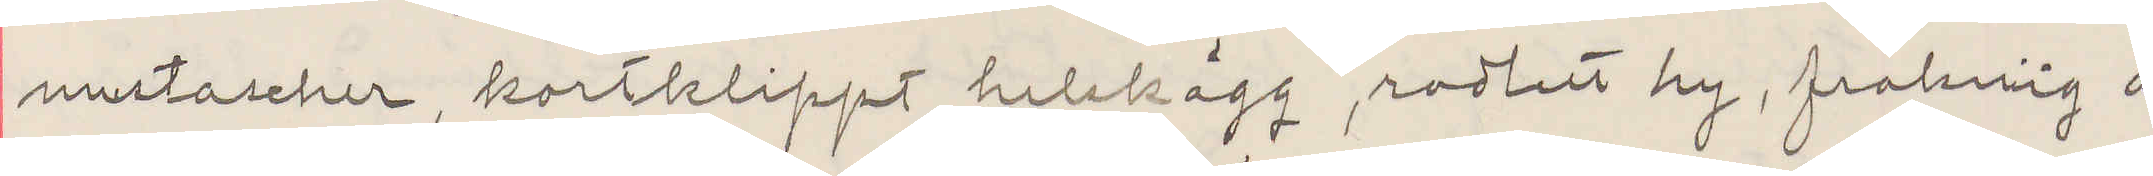mustascher, kortklippt helskägg, rodlett hy, fraknig å
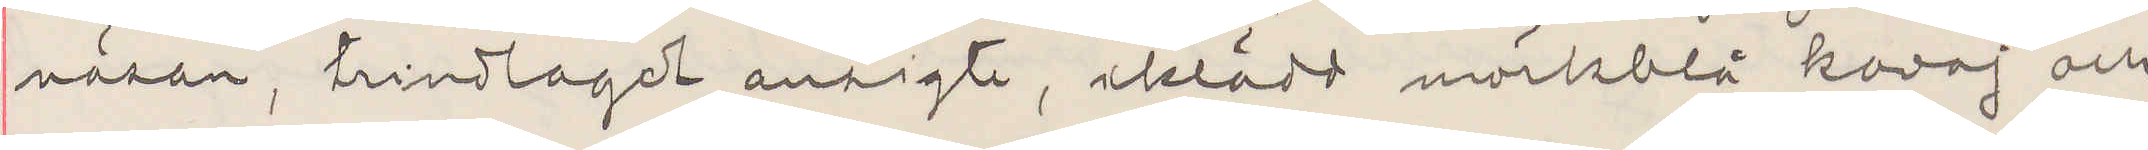näsan, trindlagdt ansigte, iklädd mörkblå kavaj och
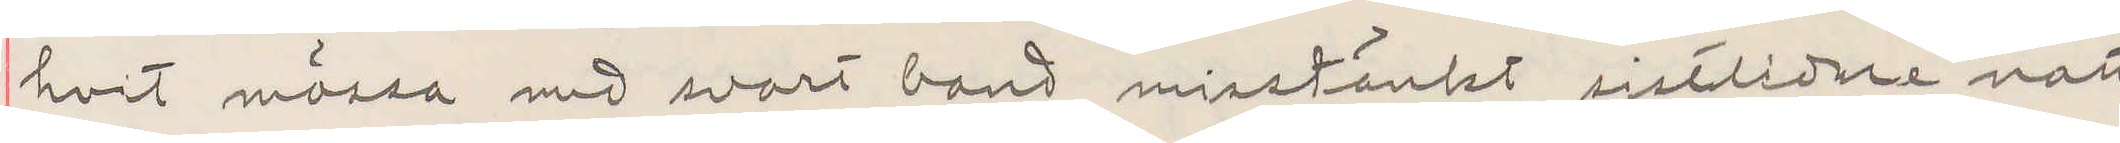hvit mössa med svart band misstänkt sistlidne natt
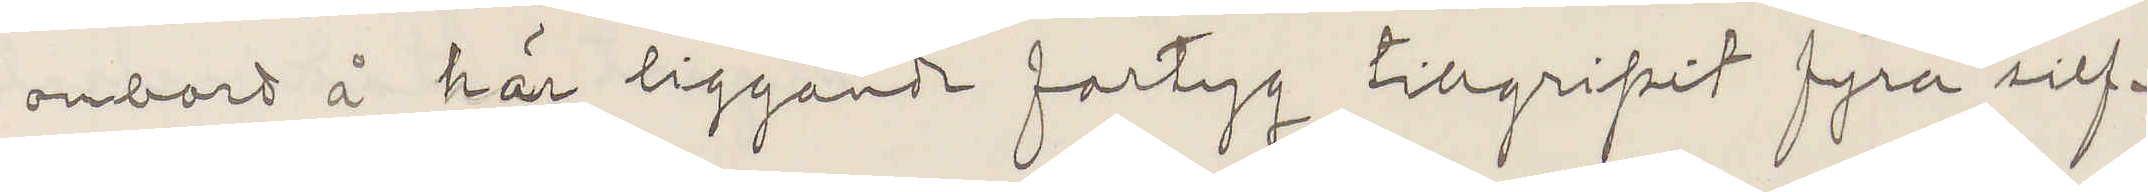ombord å här liggande fartyg tillgripit fyra silf¬
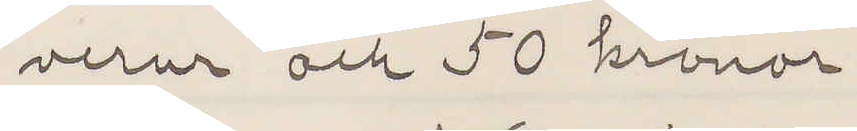verur och 50 kronor.
